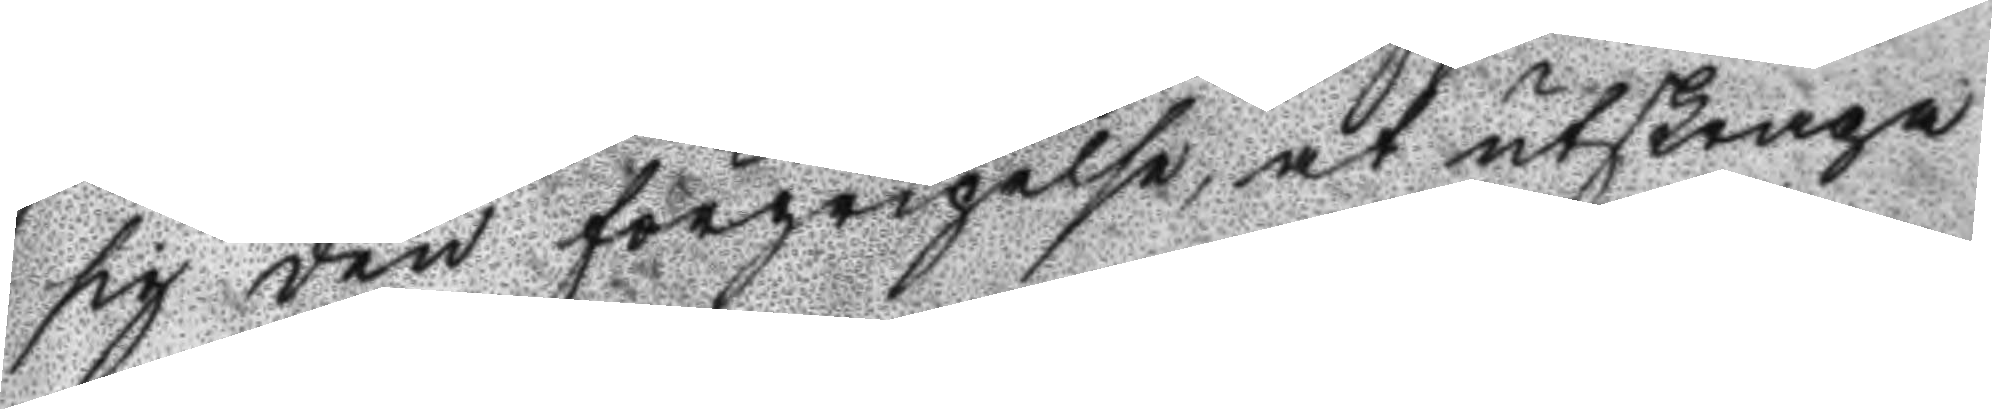sig den förgripelse, at utskrapa
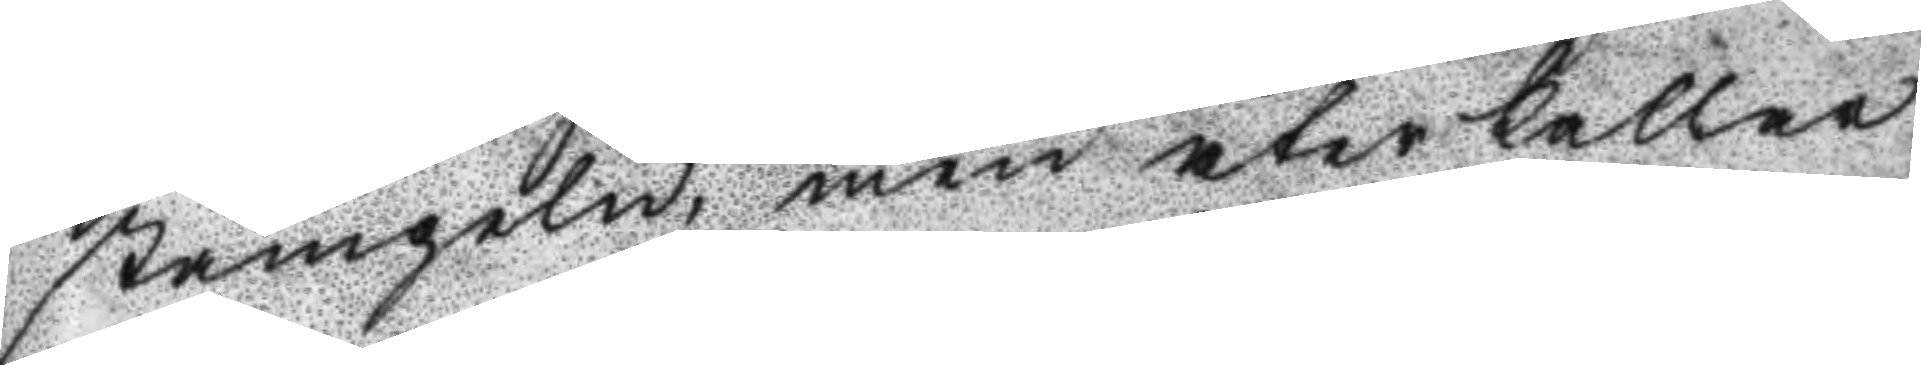stämpeln, men återkallar
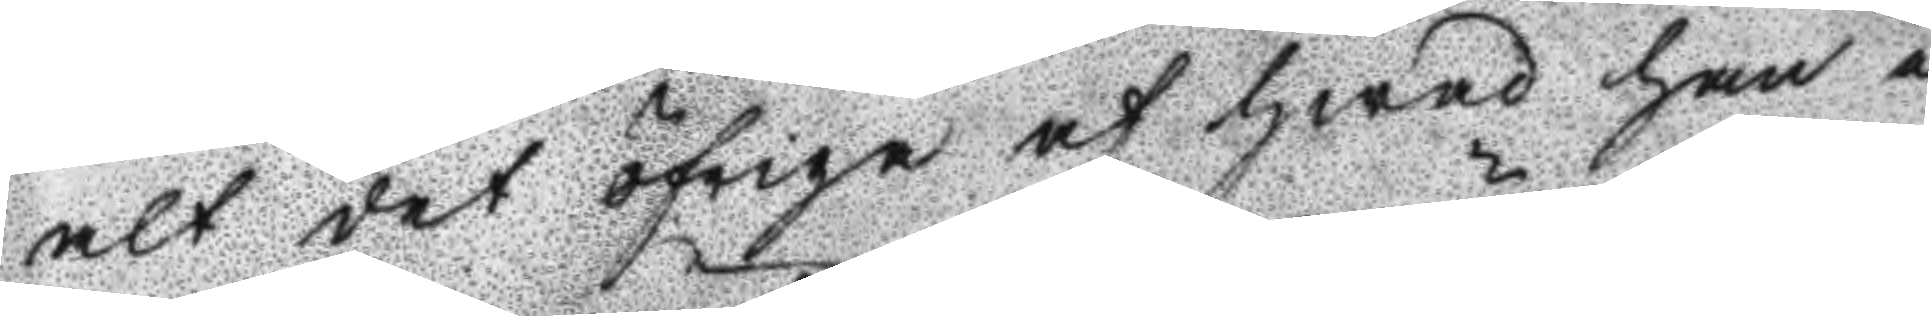alt det öfriga af hwad han i
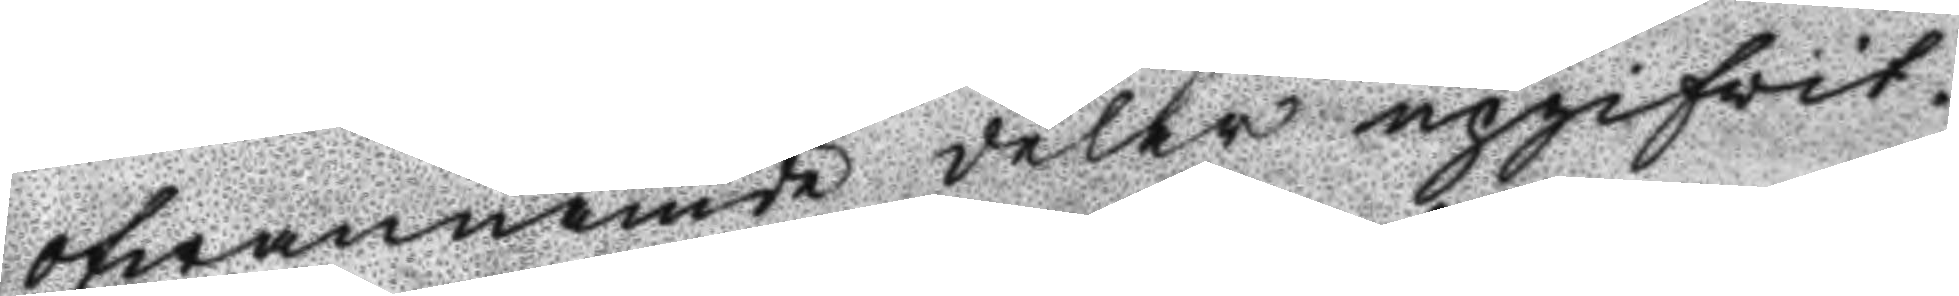ofwannämde delar upgifvit.
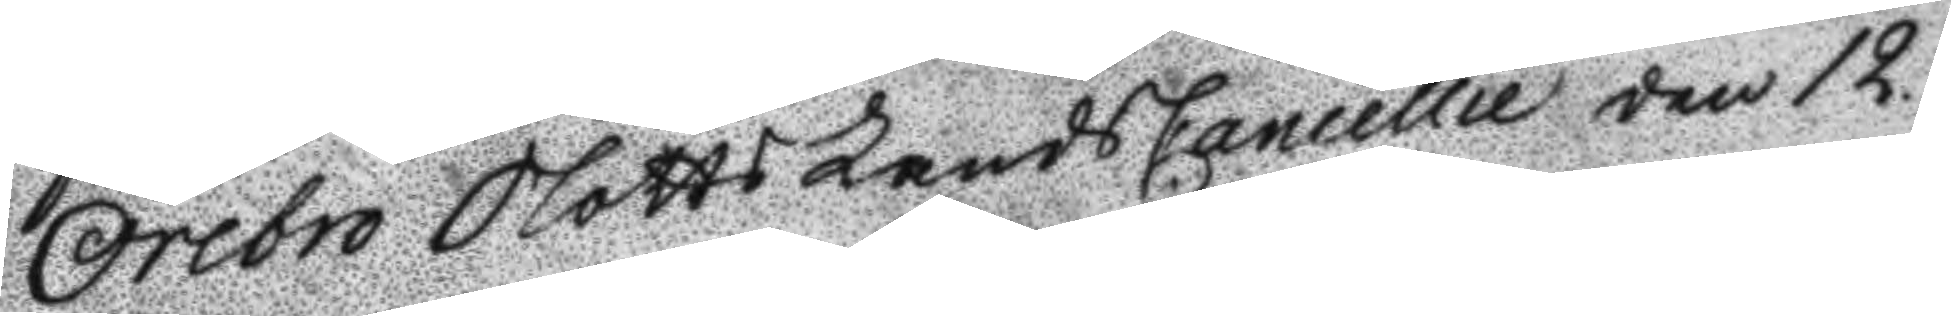Örebro Slotts Lands Cancellie den 12.
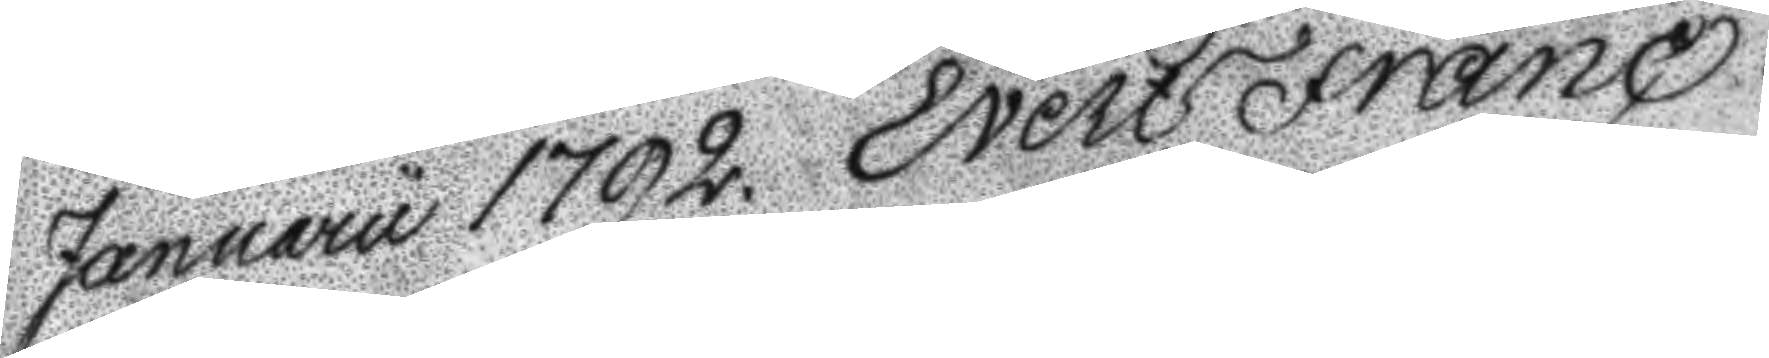Januaru 1792. Evert Franc.
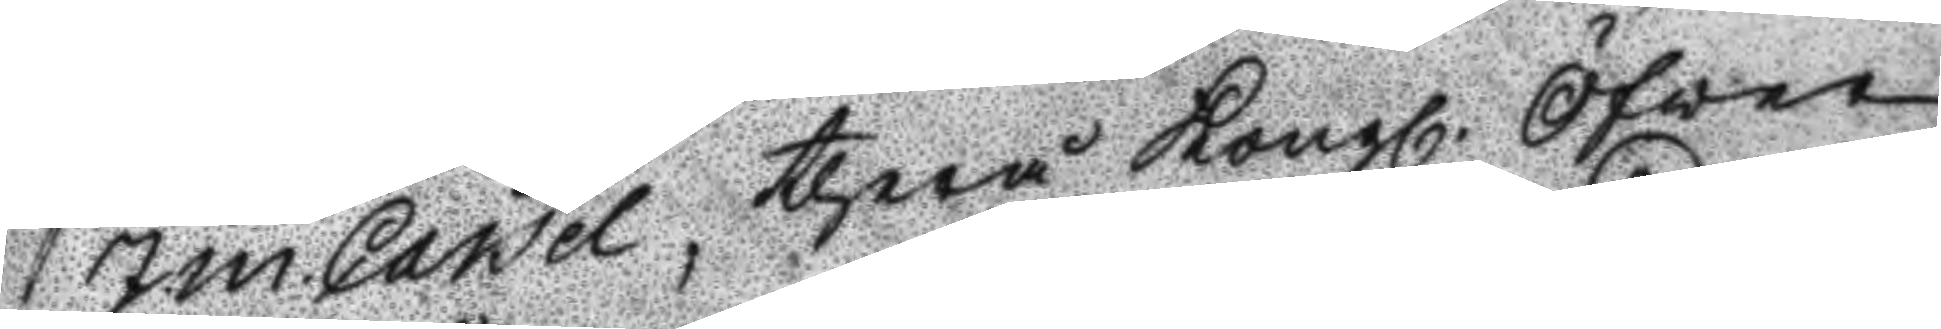J.m.Caisel, therå Kongl. Öfver
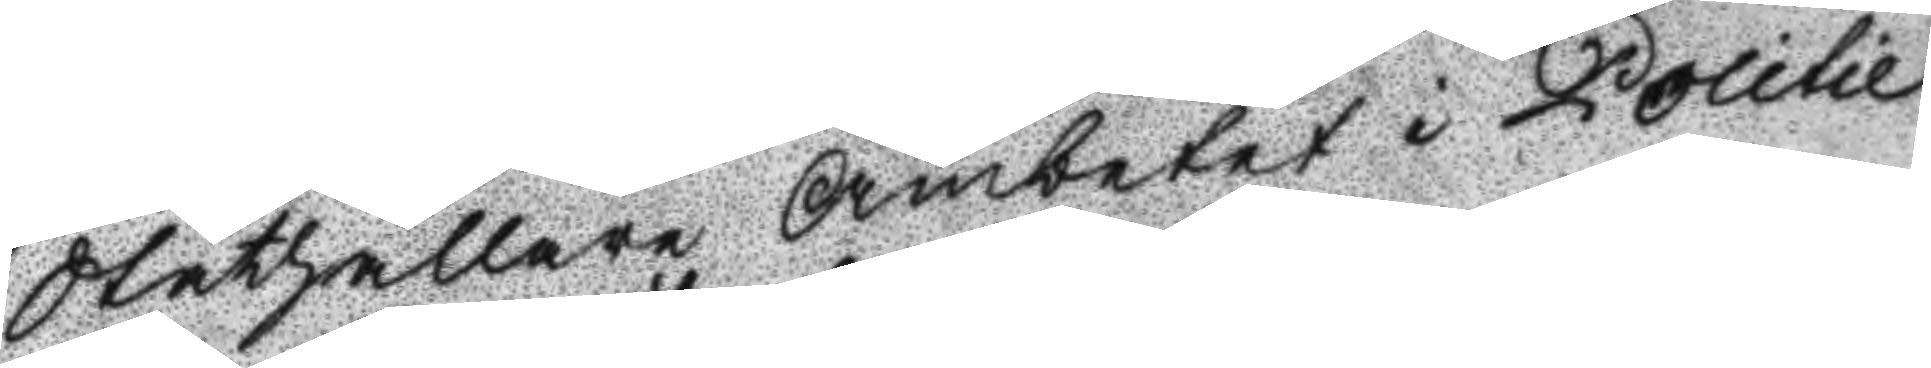Ståthållare Ämbetet i Politie
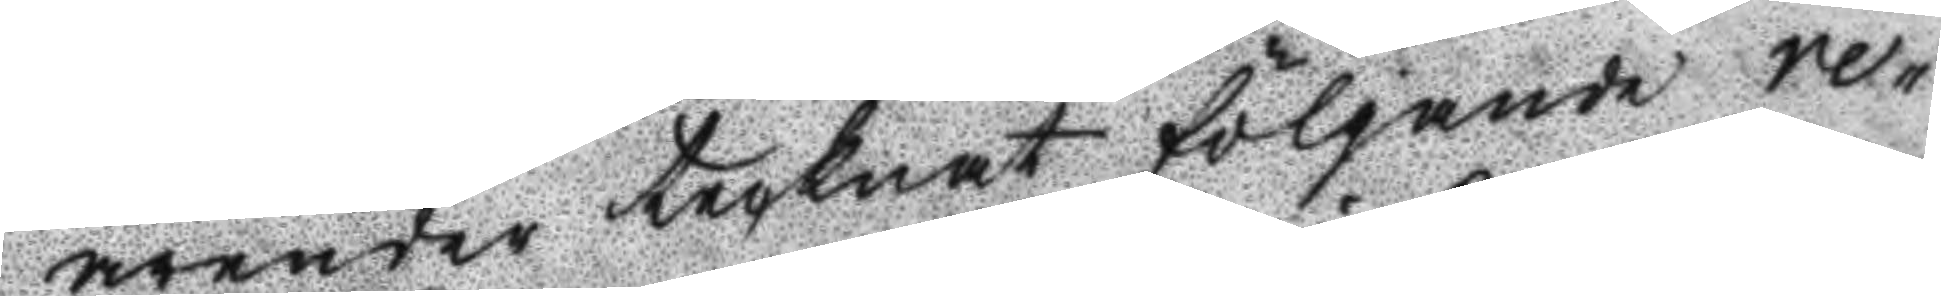ärender tecknat förljande re¬
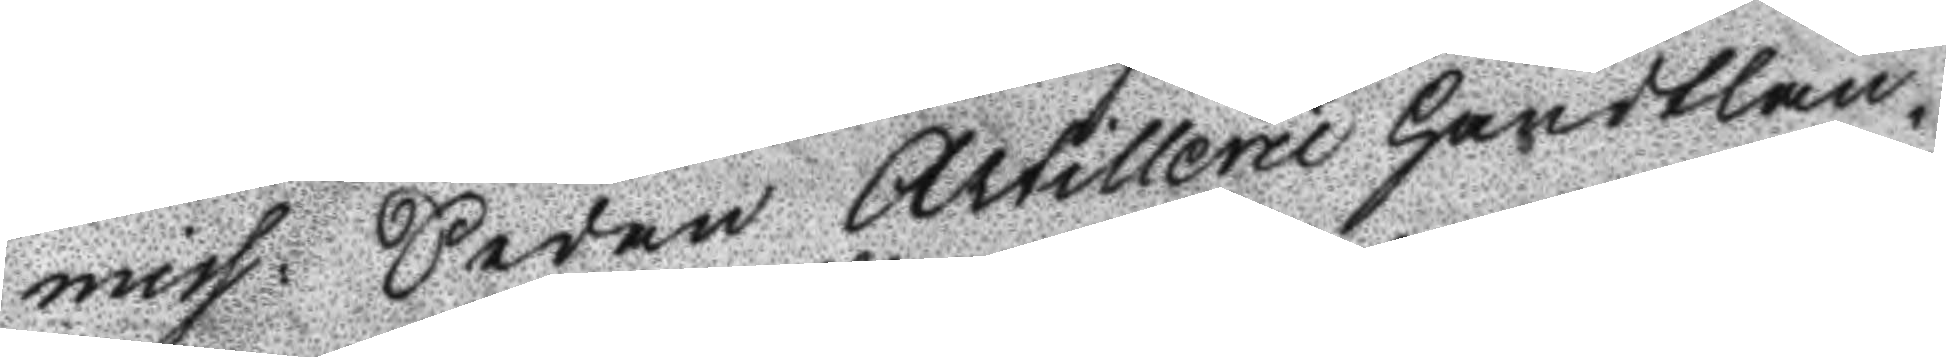miss: sedan Artillerie Handtlan¬
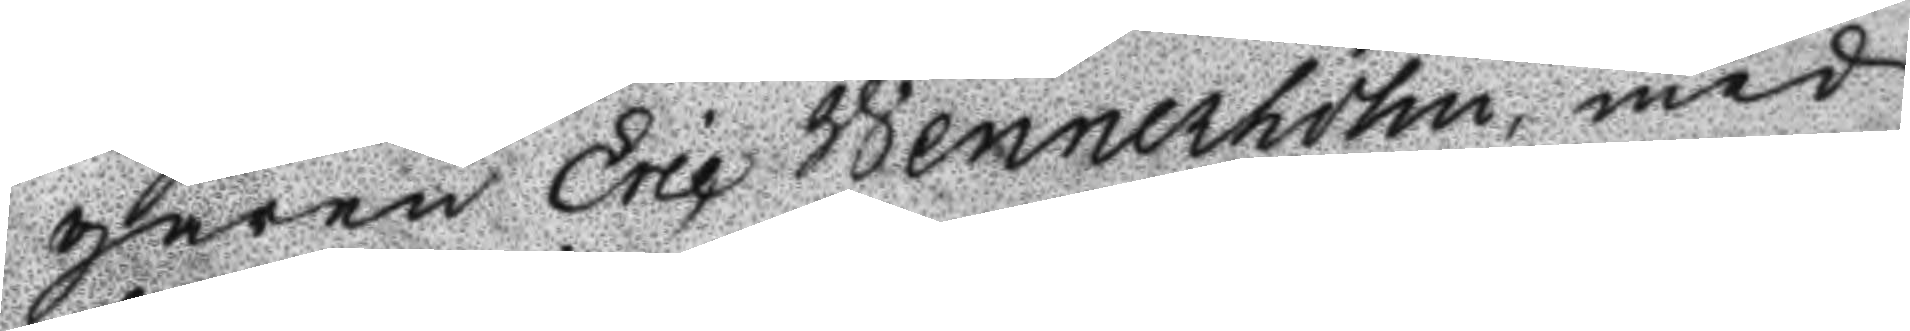garen eric Wennerholm, med
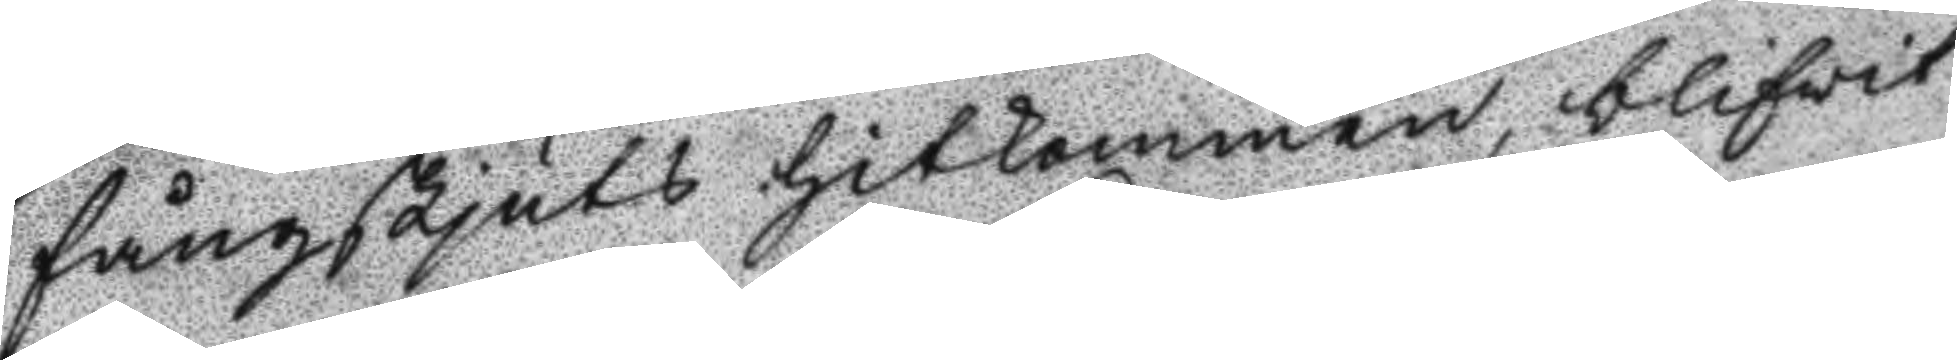fångskjuts hitkommen, blifvit
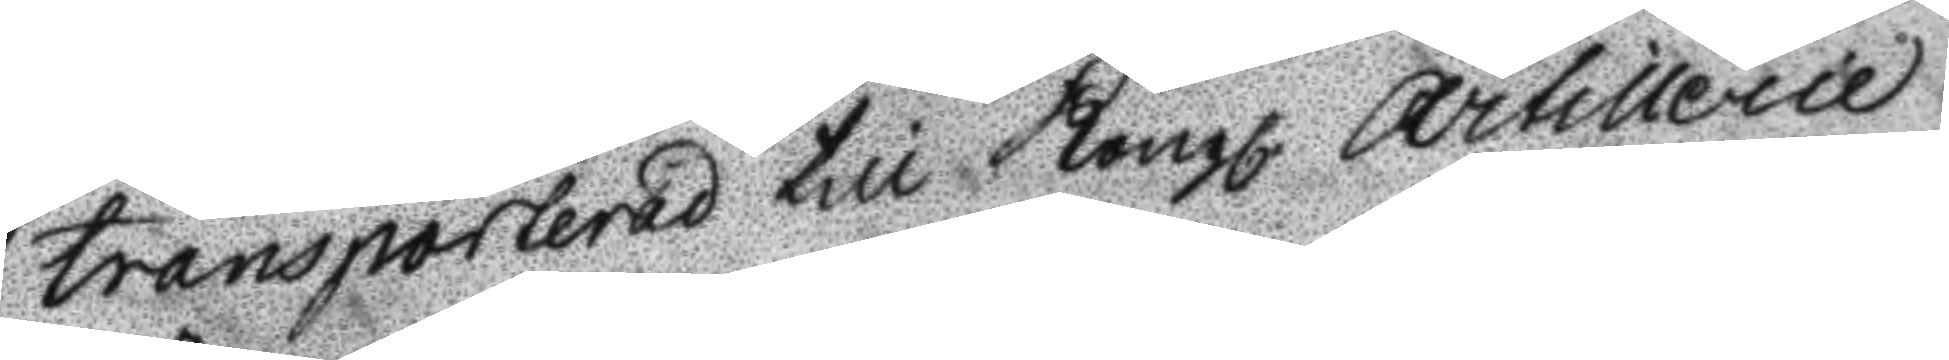transporterad till Kongl. Artillerie
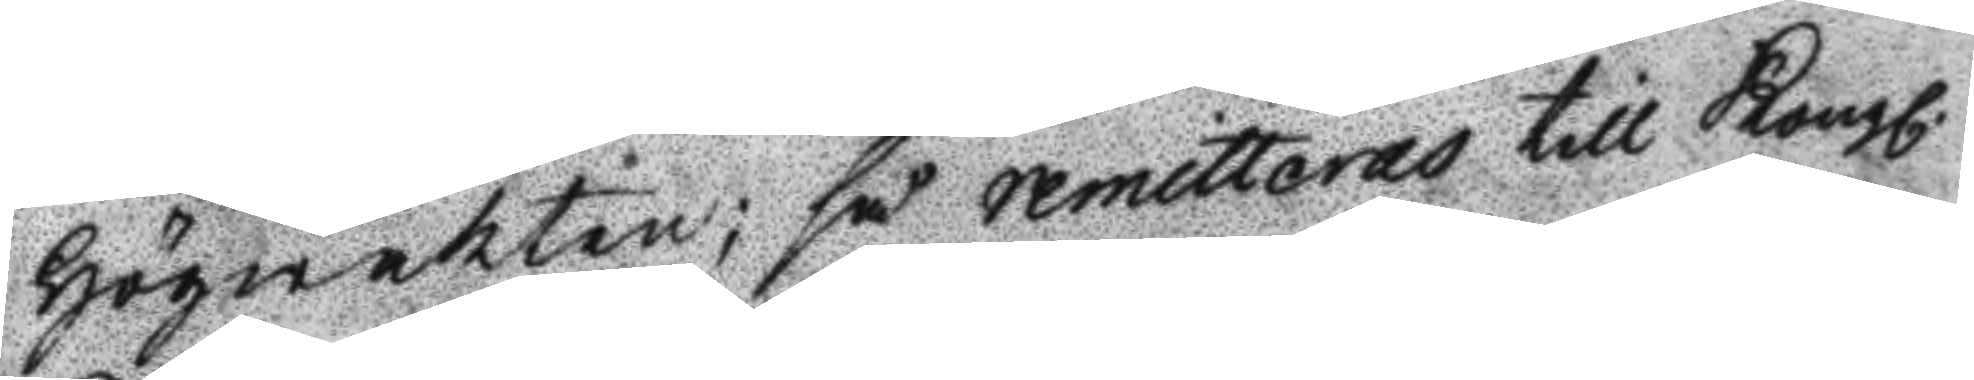Högwakten; så remitteras till Kongl.
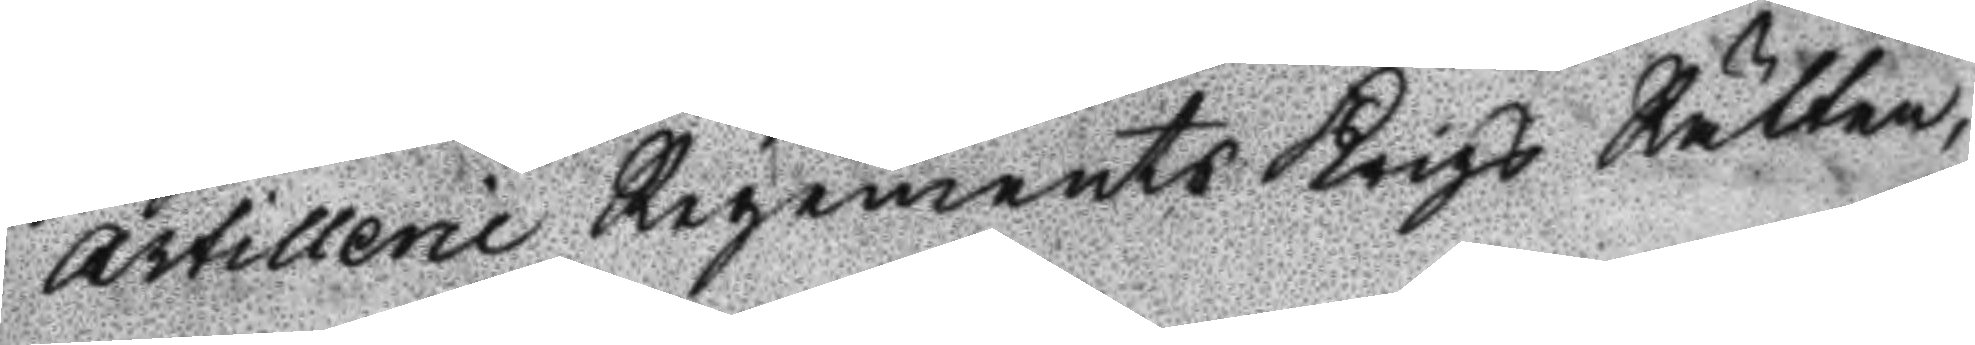Artillerie Regements Krigs Rätten,
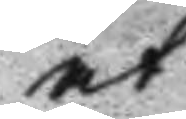at
